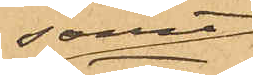samt
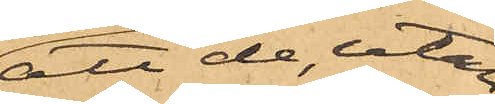att de, utan
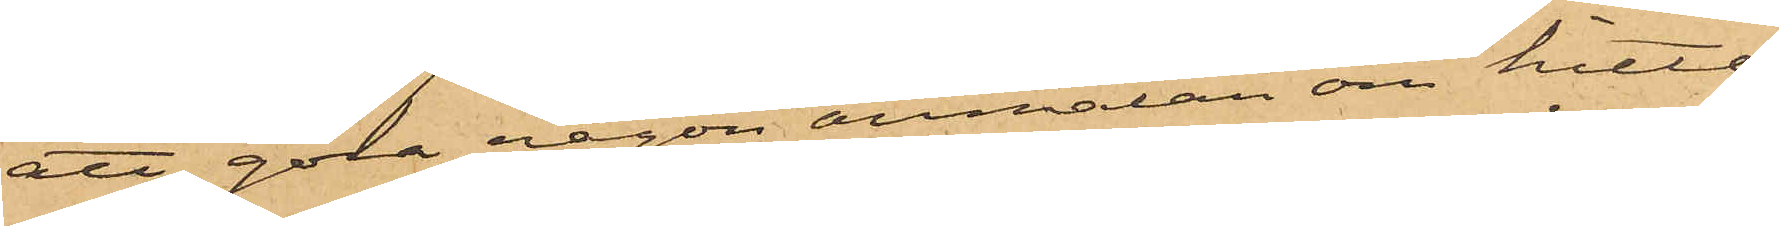att göra någon anmälan om hitte¬
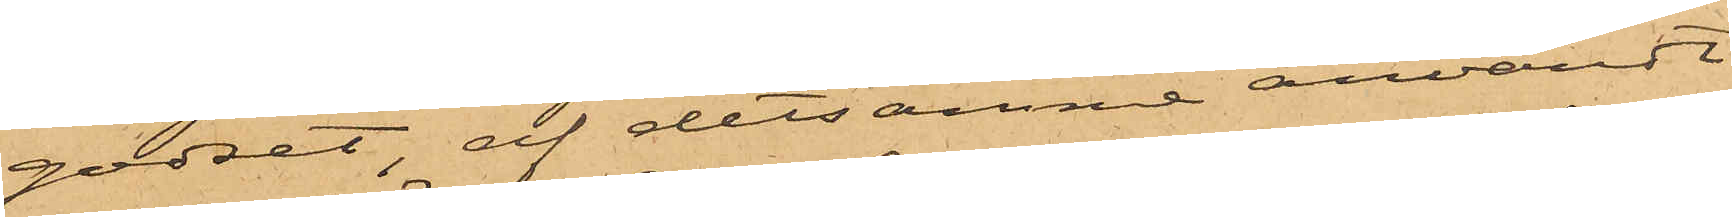godset, af detsamma användt
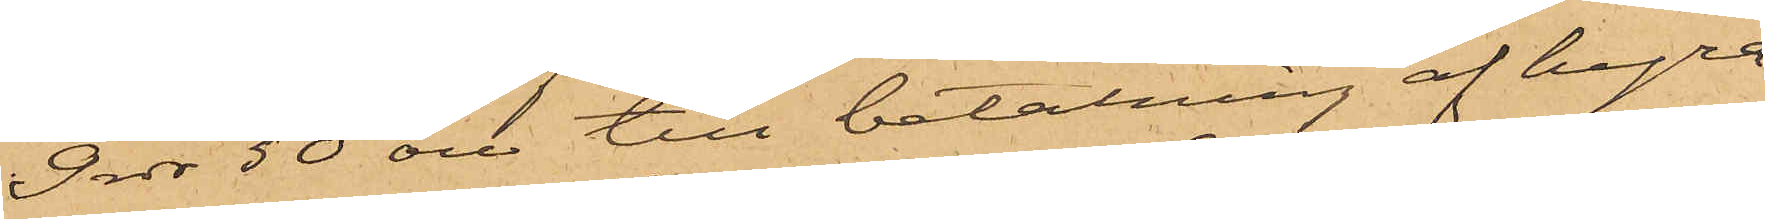9 rdr 50 öre till betalning af hyra
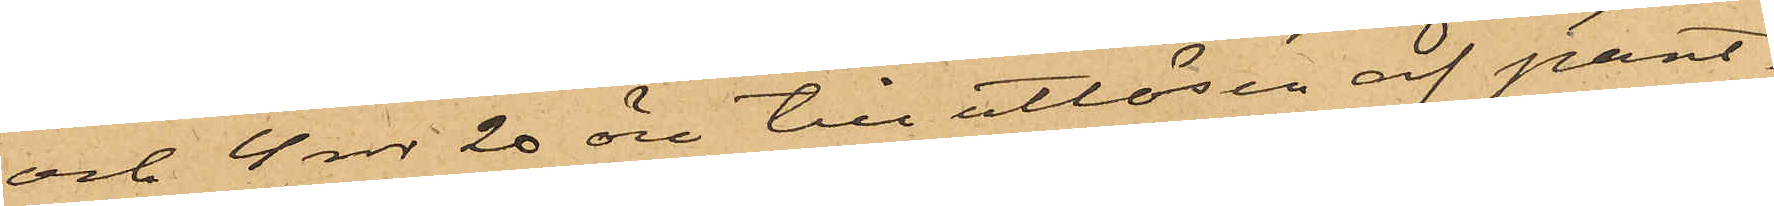och 4 rdr 20 öre till utlösen af pant¬
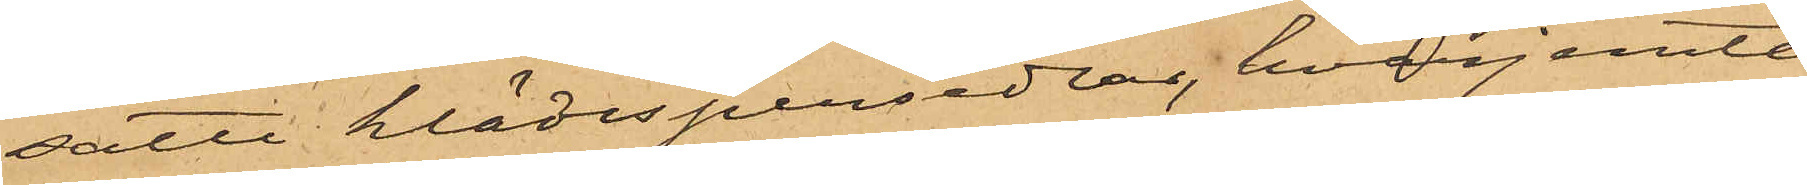satte klädespersedlar, hvarjemte
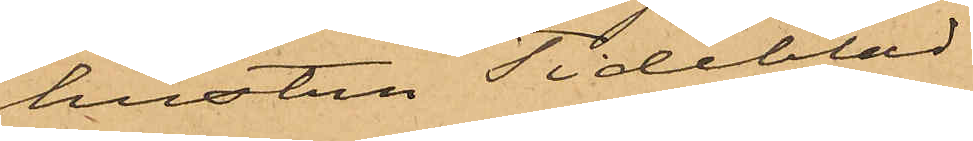hustru Tideblad
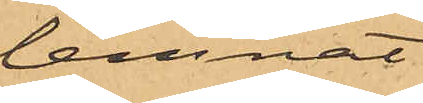lemnat
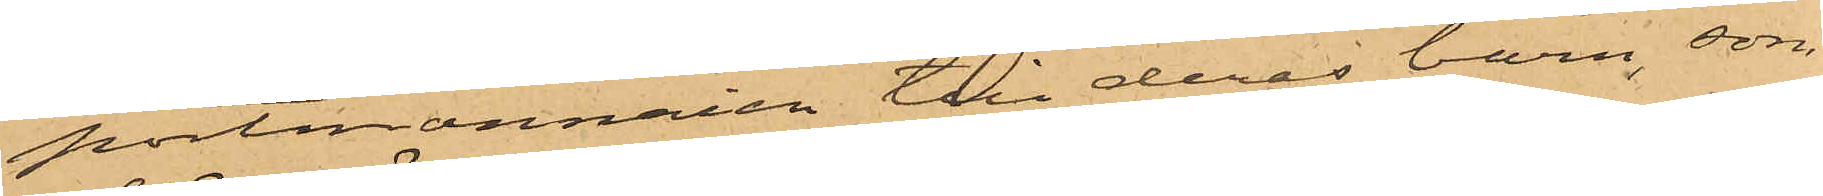portmonnaien till deras barn, som
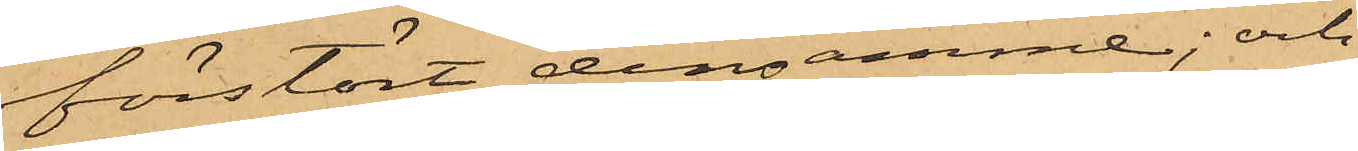förstört densamme; och
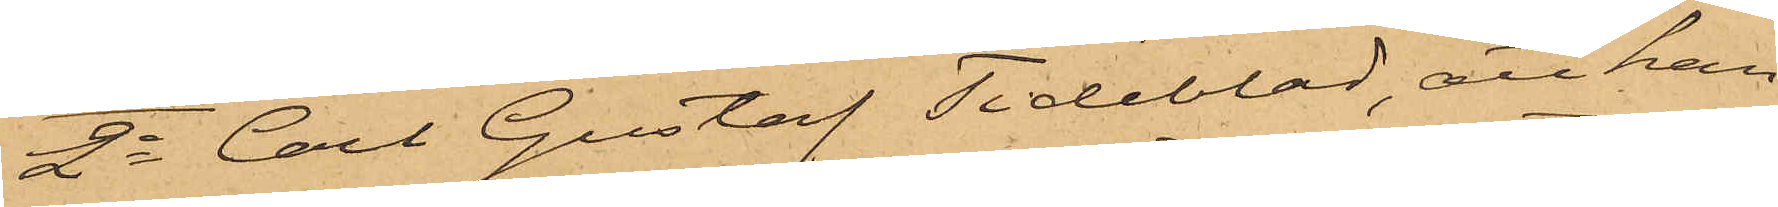2o Carl Gustaf Tideblad, att han
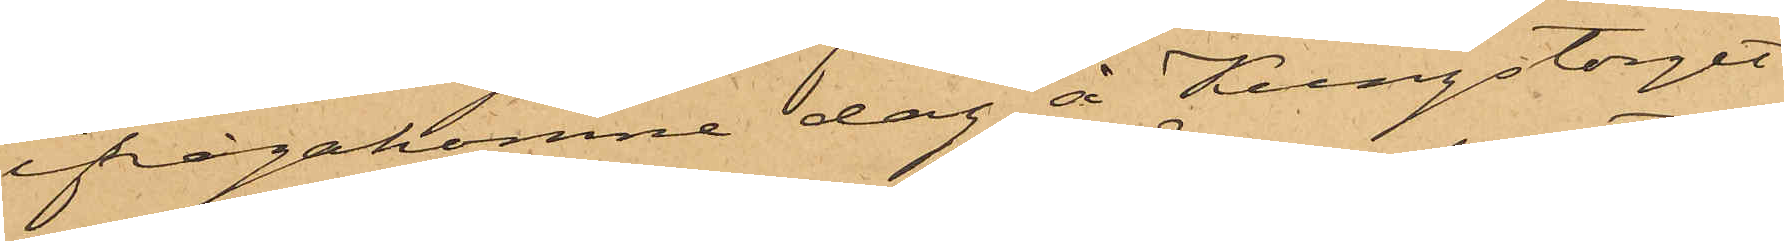ifrågakomne dag å Kungstorget
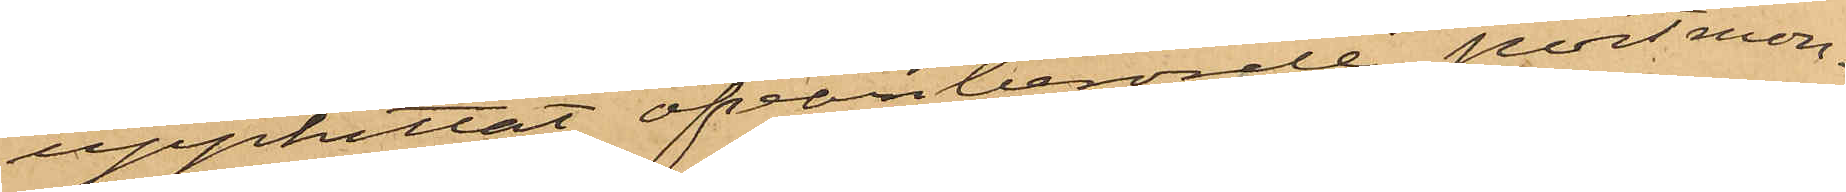upphittat ofvanberörde portmon¬
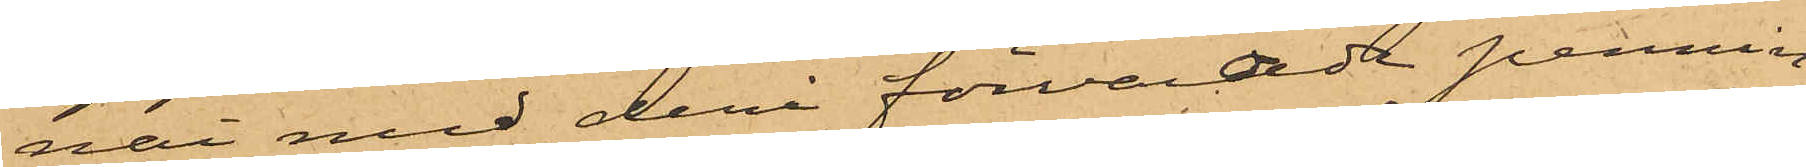nai med deri förvaradt pennin¬
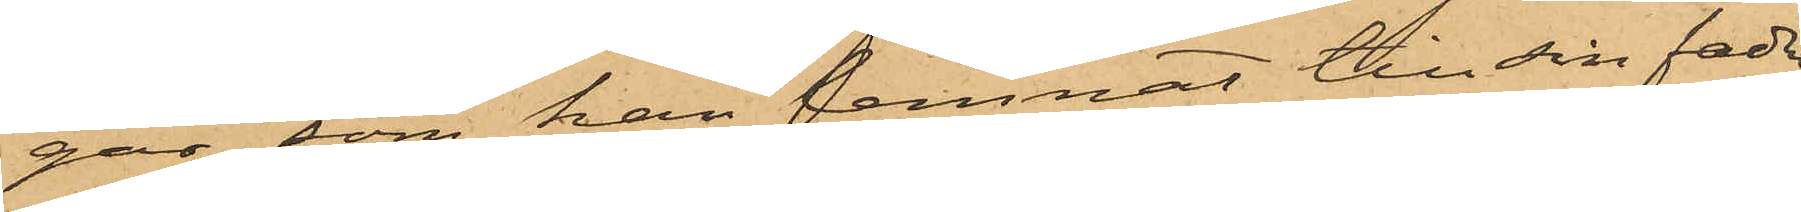gar, som han lemnat till sin fader.
